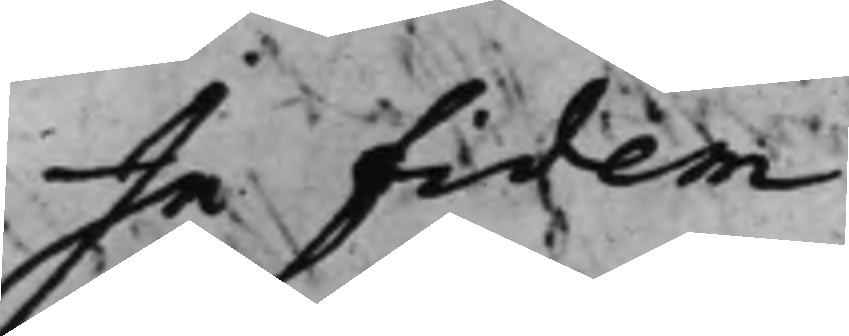In Fidem
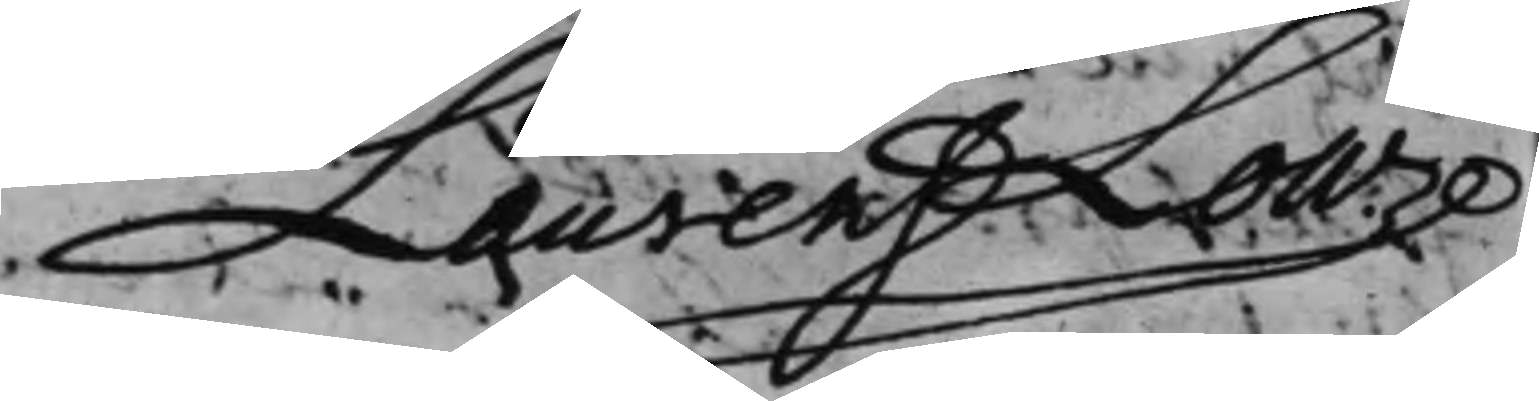Laurens Low
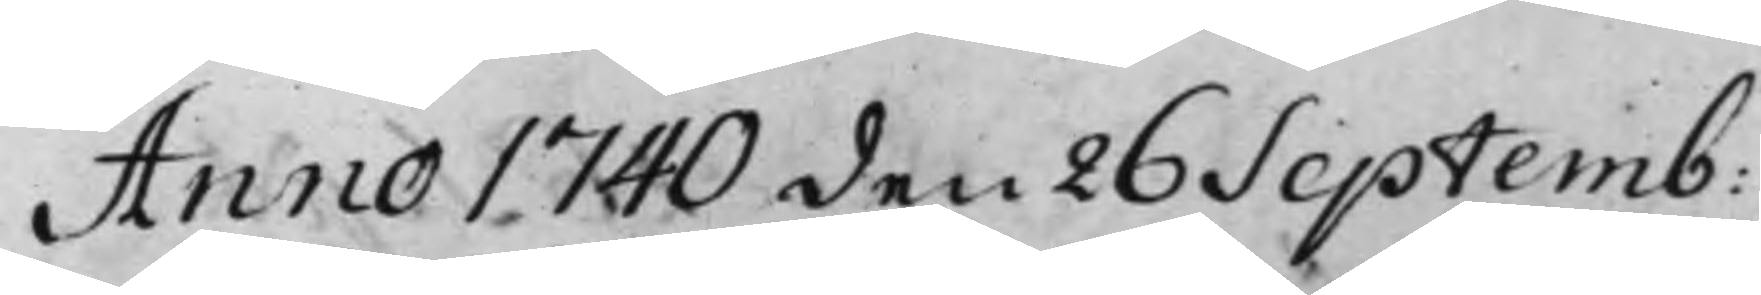Anno 1740 den 26 Septemb:
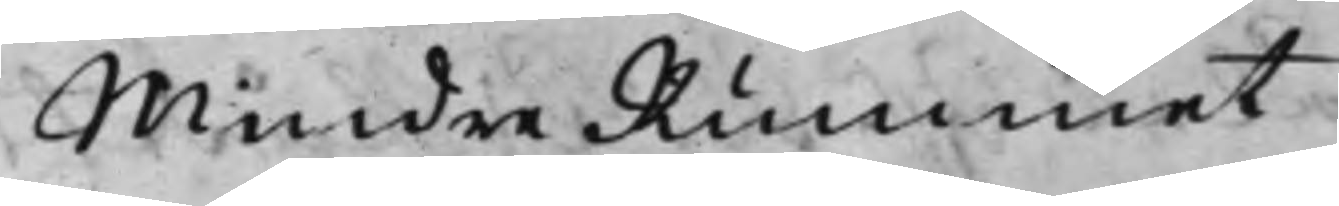Mindre Rummet
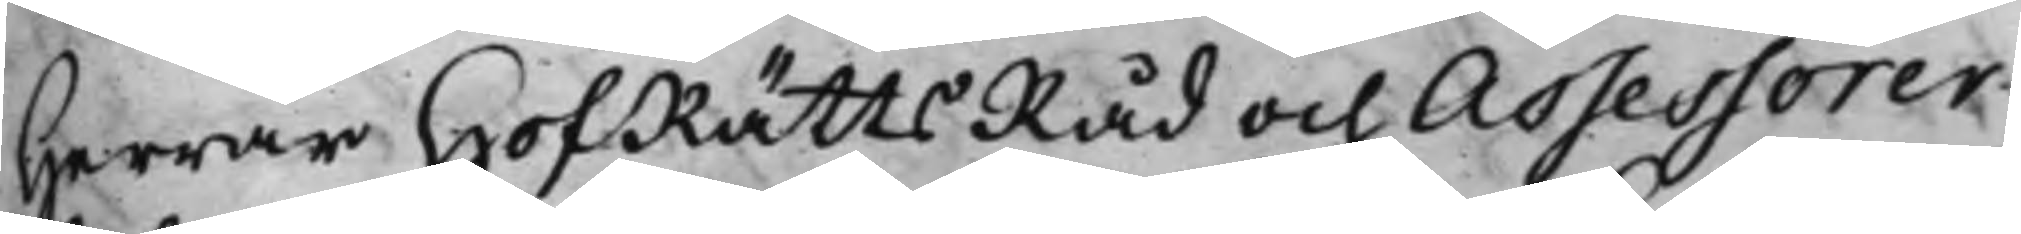Herrar HofRättsRåd och Assessorer
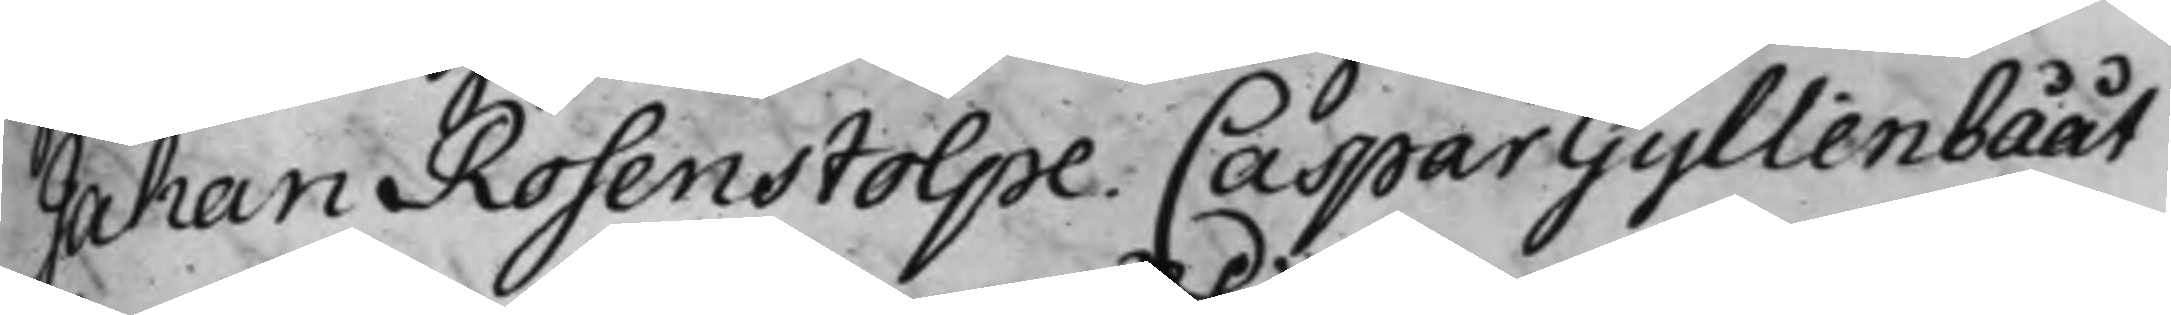Johan Rosenstolpe. Caspar Gyllenbååt
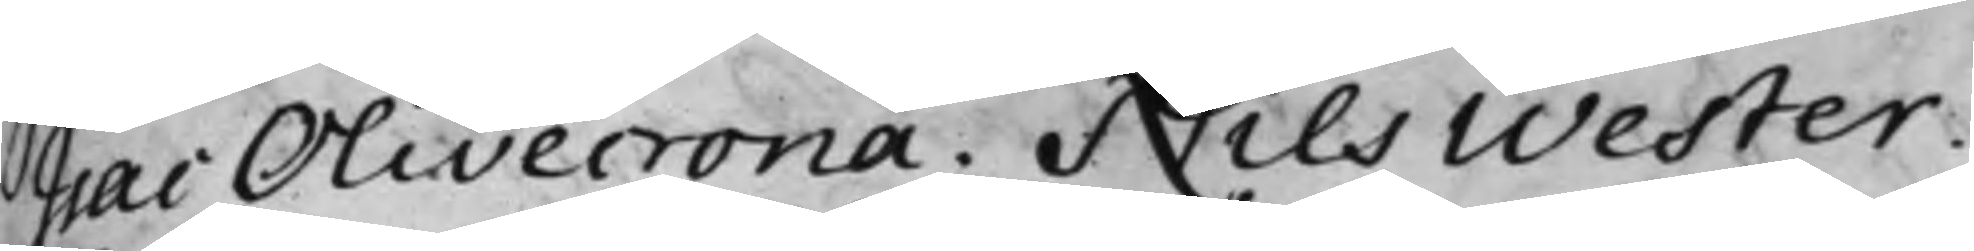Isac Olivecrona, Nils Wester.
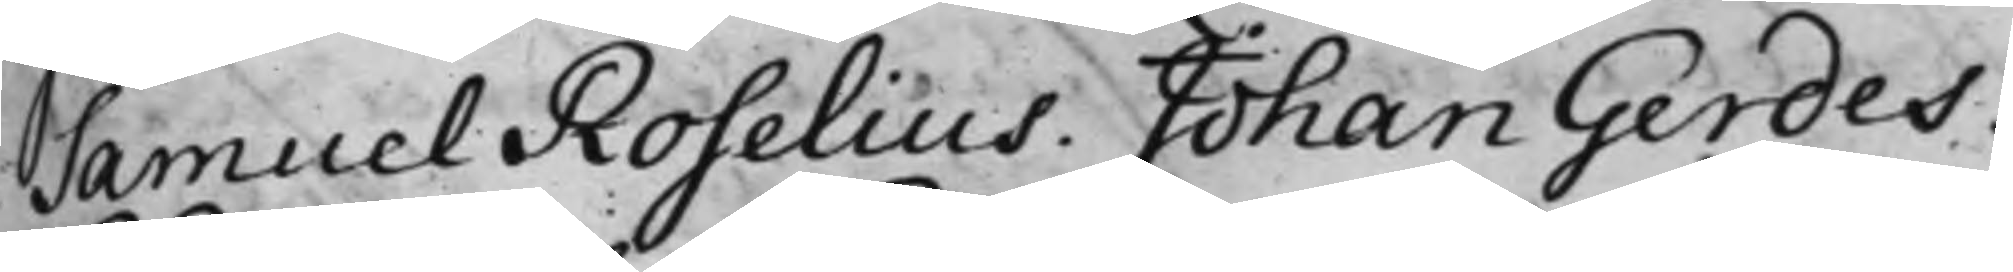Samuel Roselius. Johan Gerdes.
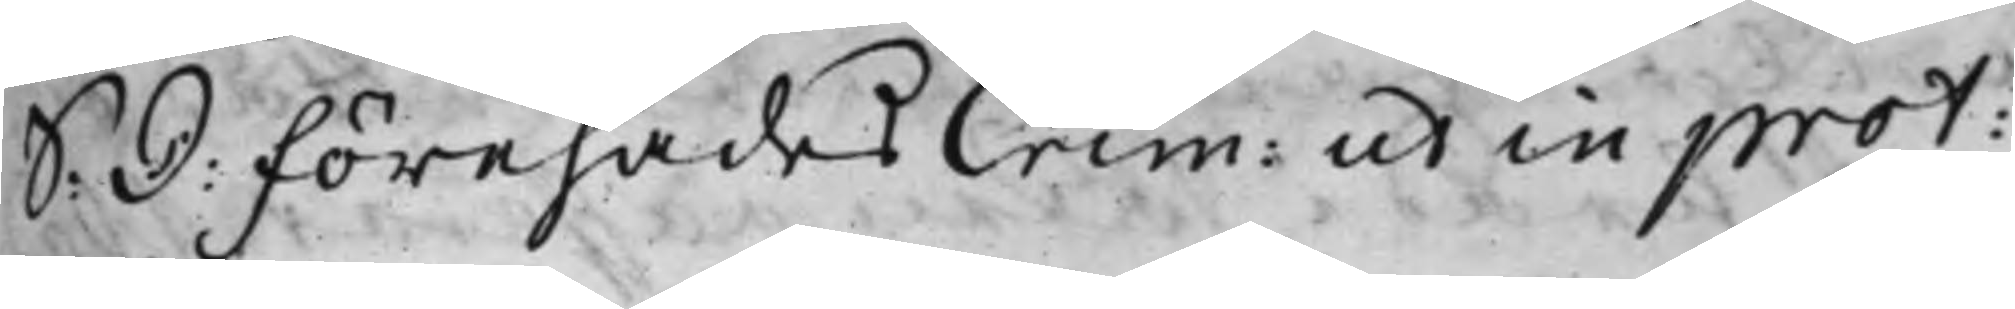S: D: Förehades Crim: ut in prot:
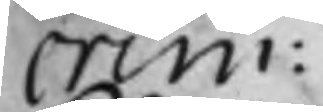crim:
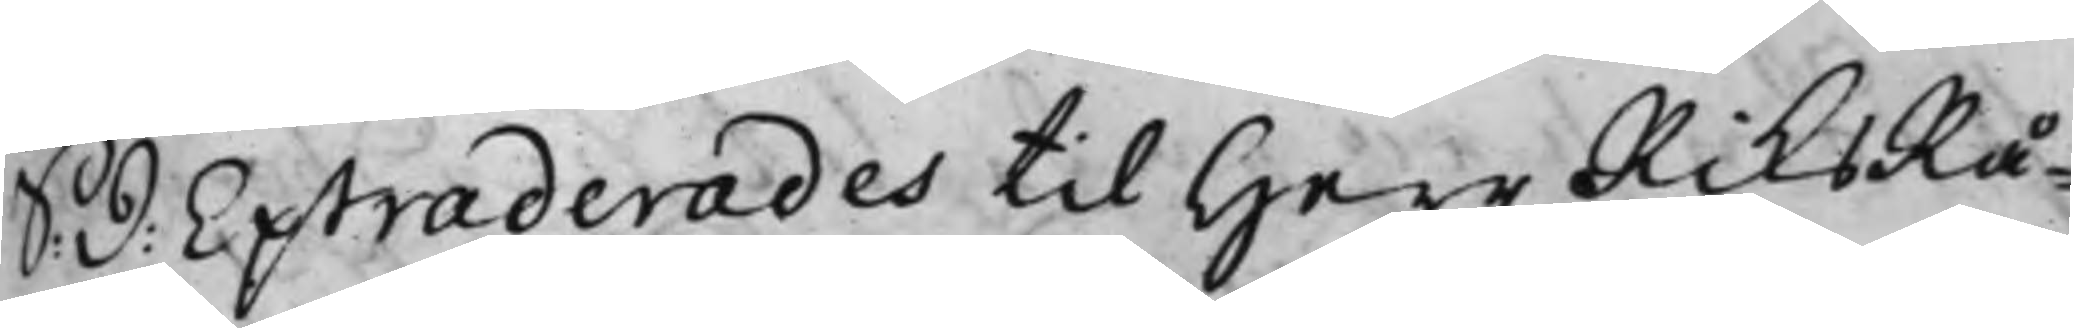S: D: Extraderades till Herr RiksRå¬
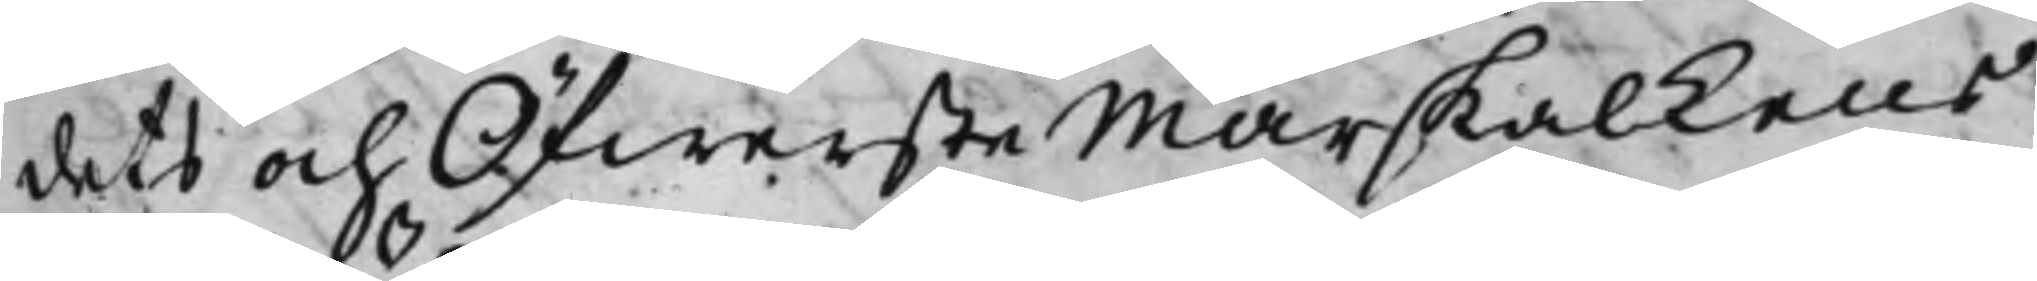dets och Öfwerste Marskalkens
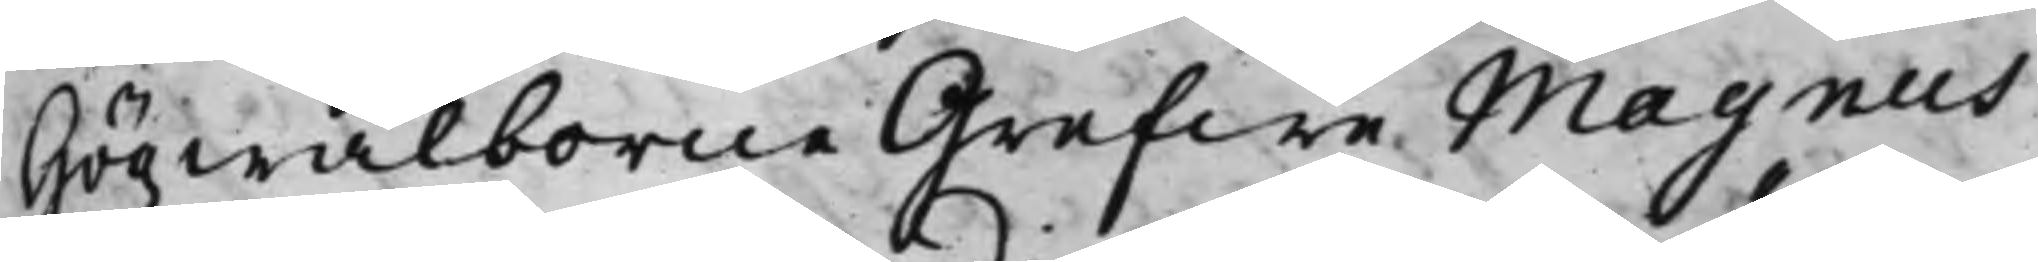Högwälborne Grefwe Magnus
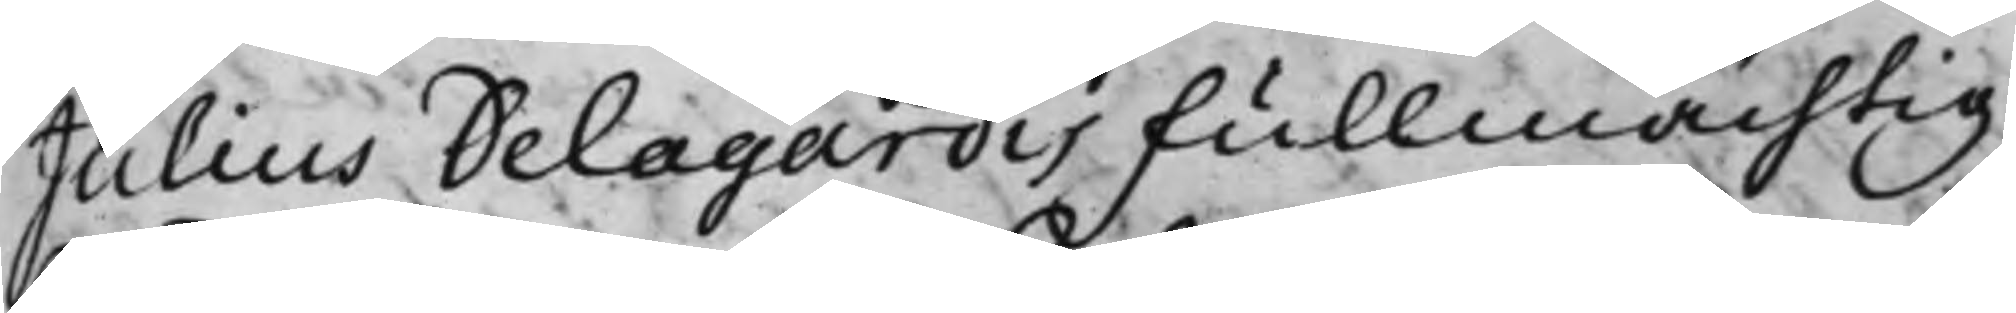Julius Delagardis Fullmächtig
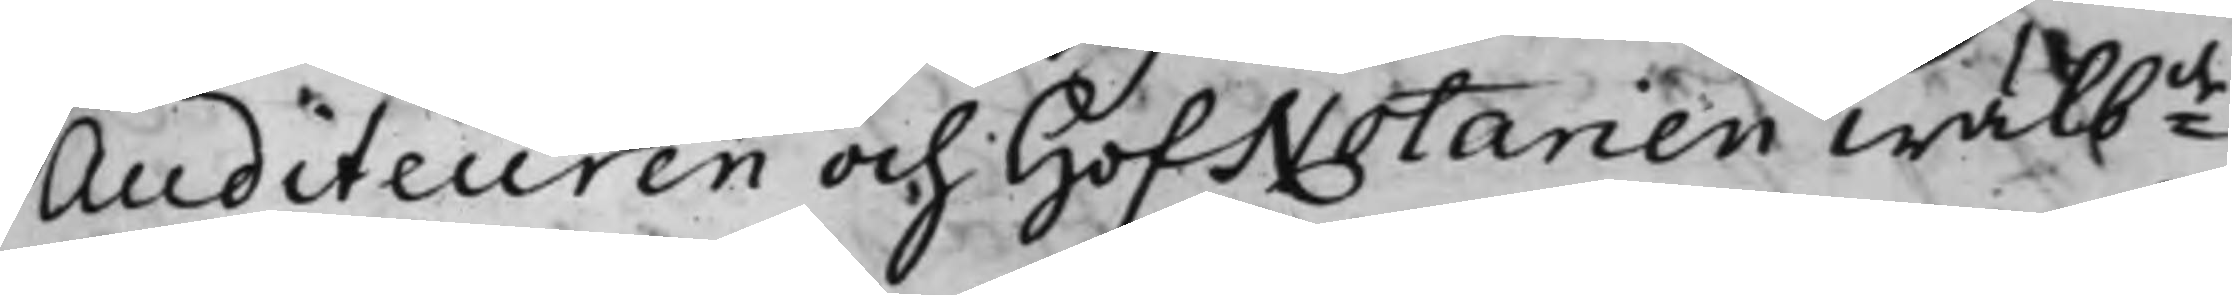Auditeuren och HofNotarien Wälbde
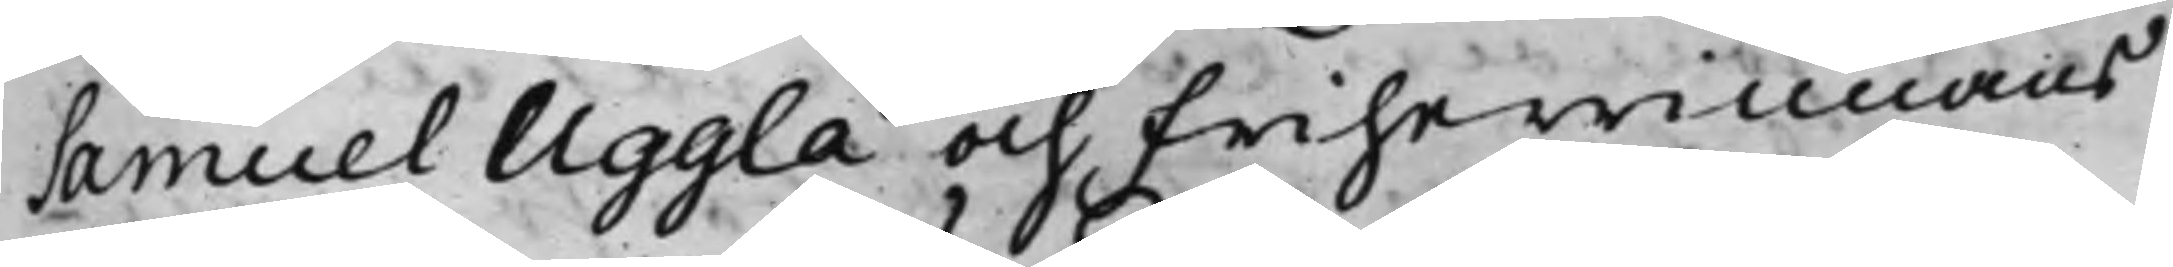Samuel Uggla och Friherrinnans
